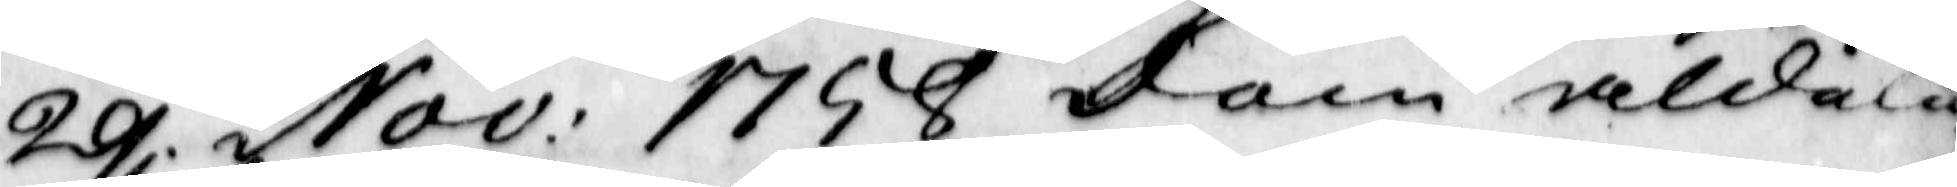29 Nov: 1758 dom aldele
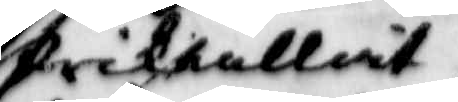frikallat
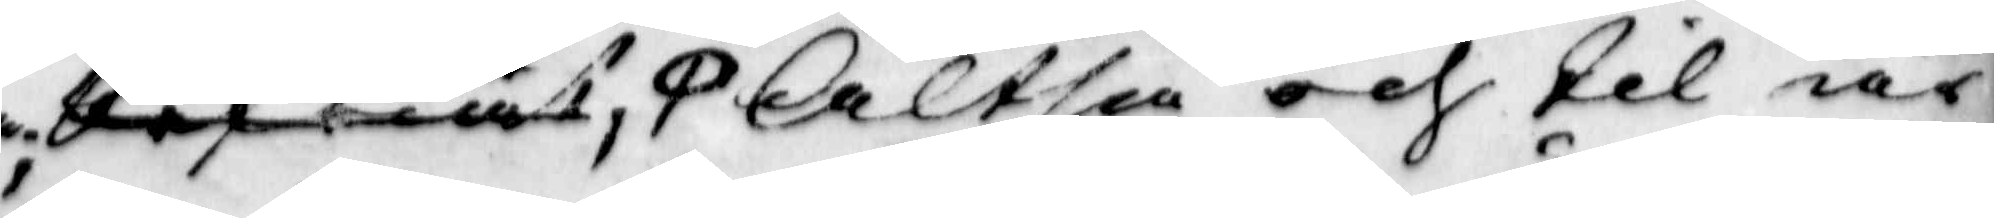Altså och til är¬
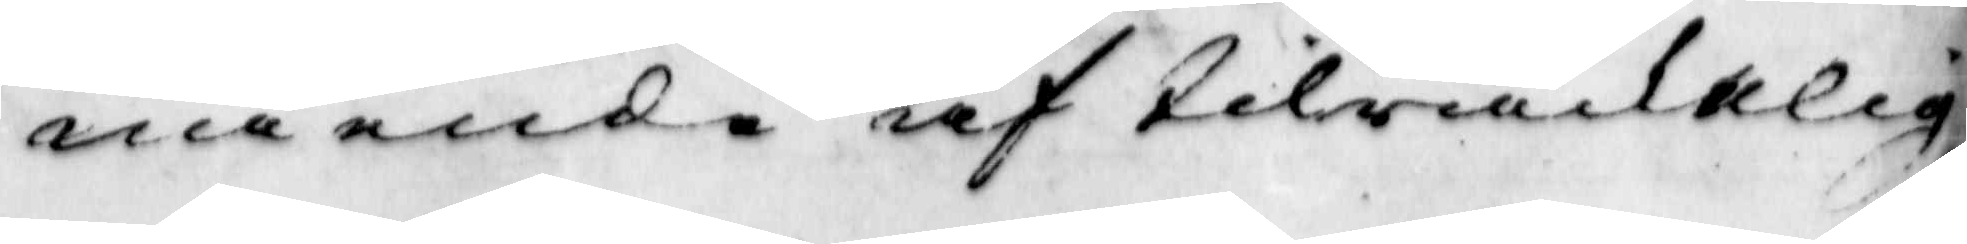nående af tilräcklig
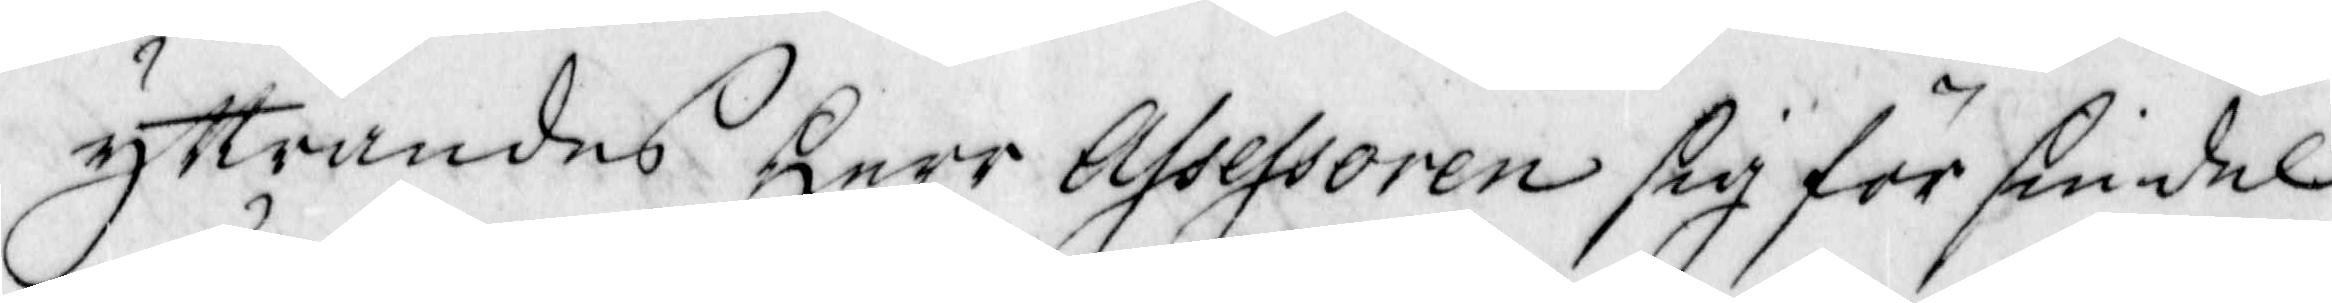yttrandes Herr Assessoren sig för sin del
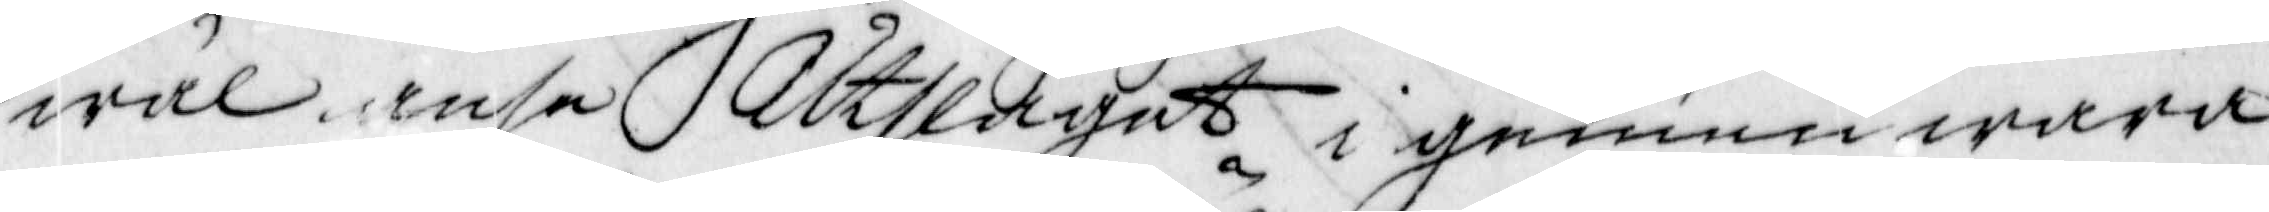wäl anse Altslagat i genom wara
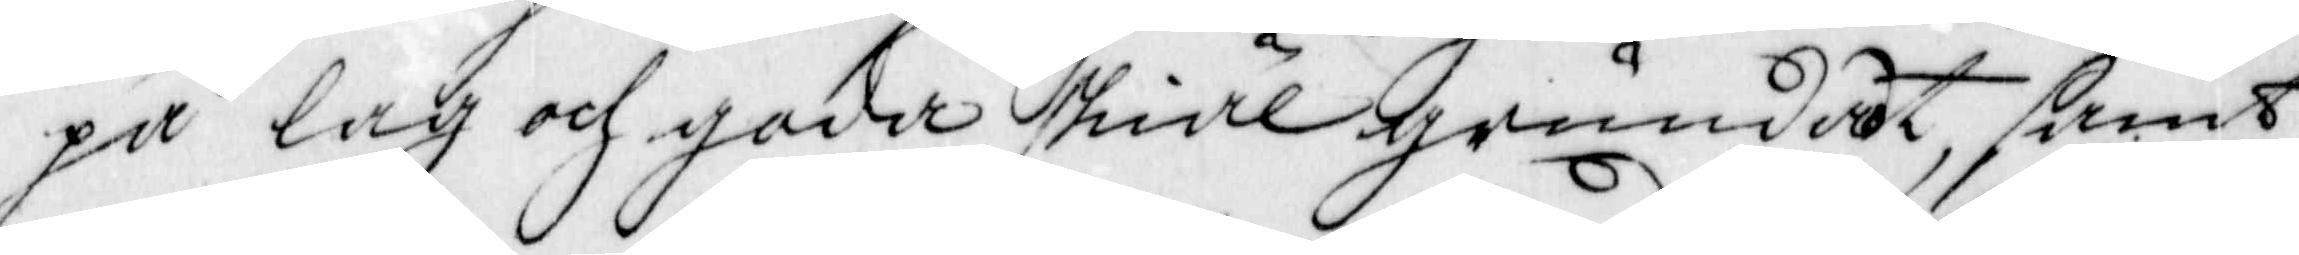på lag och goda skiäl grundat, samt
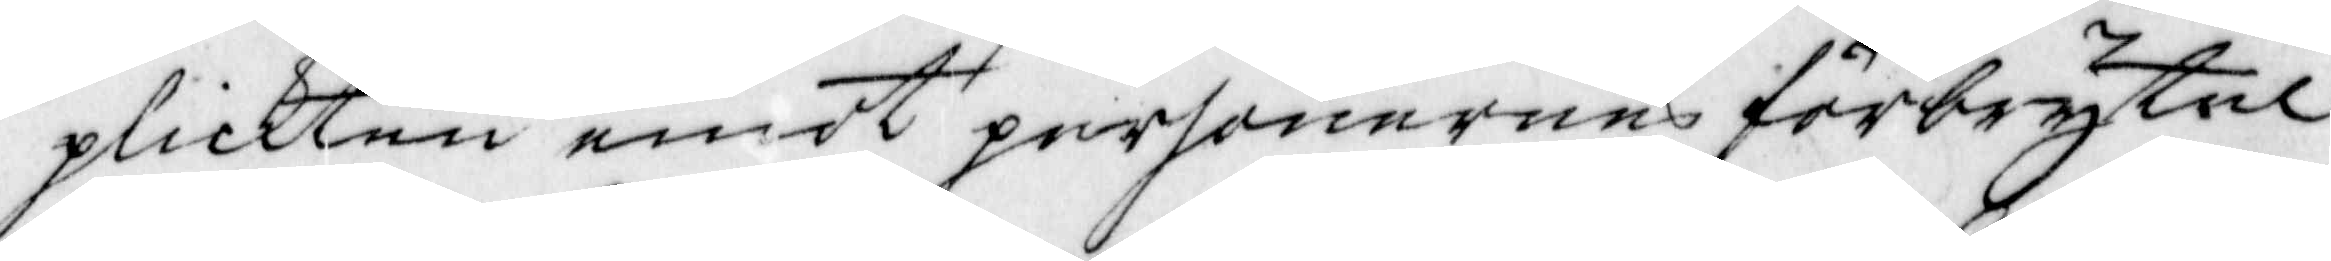plickten emot personernes förbrytel¬
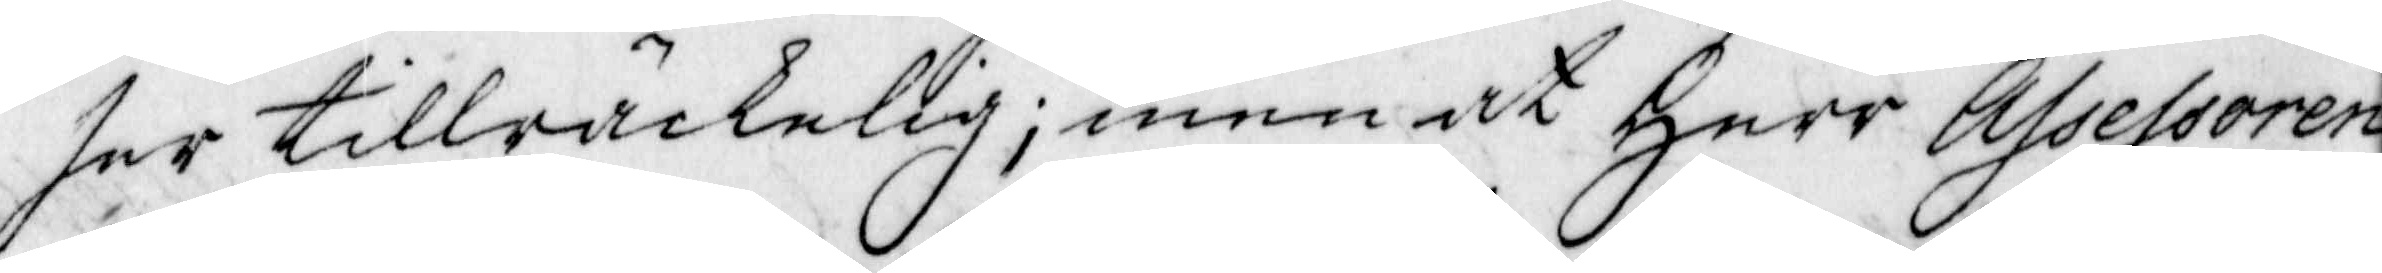ser tillräckelig; menat Herr Assessoren
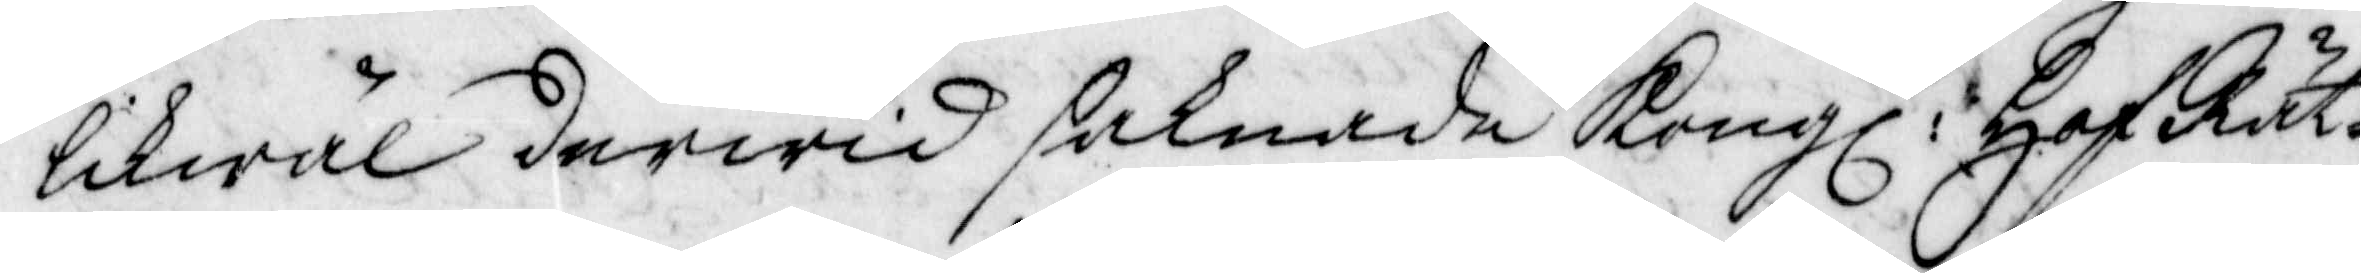likwäl derwid saknade Kongl. HofRät¬
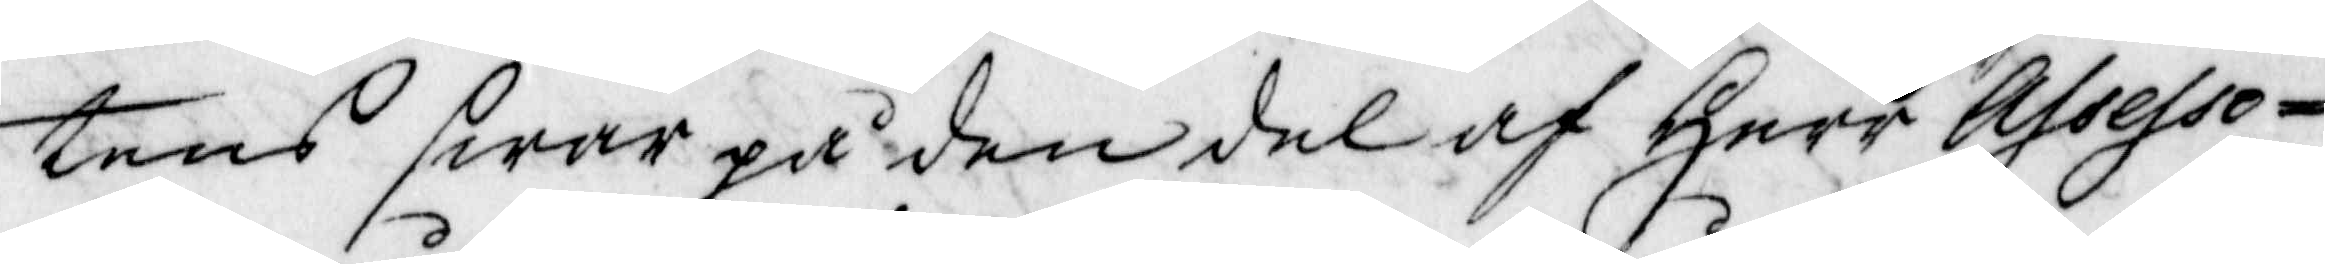tens swar på den del af Herr Assesso¬
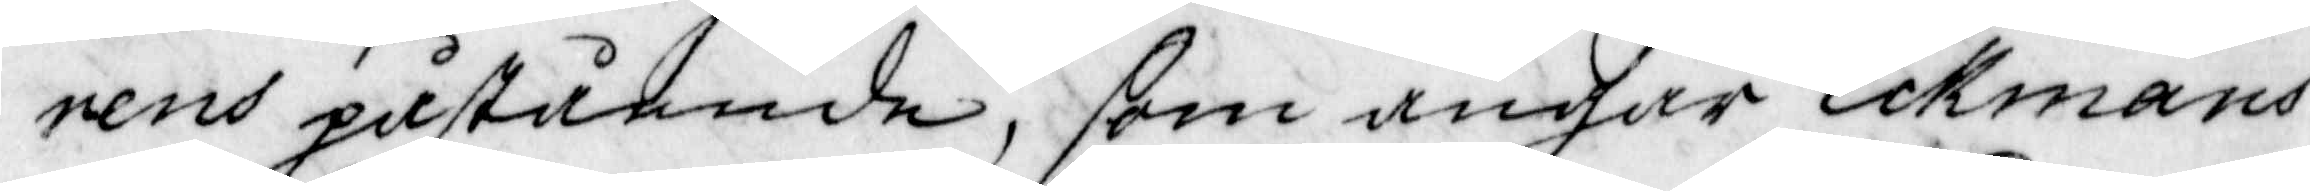rens påstpende, som angår Eckmans
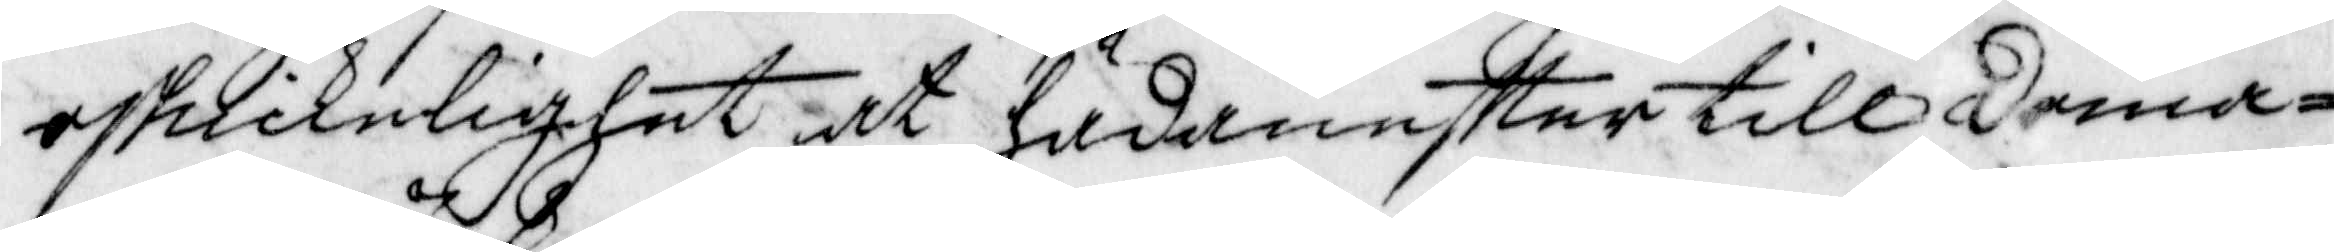oskickelighet at hädaneftter till doma¬
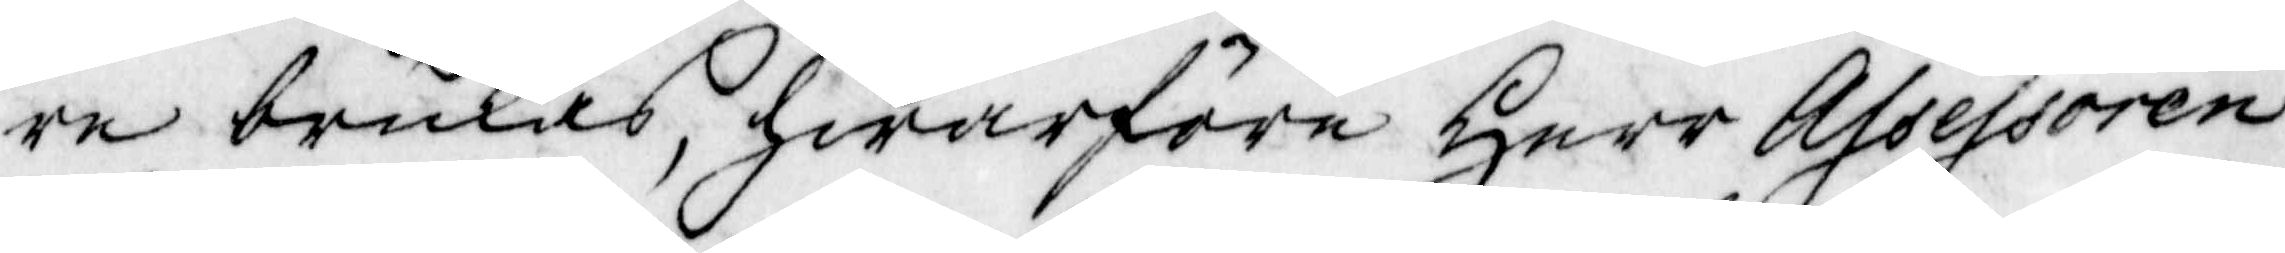re brukas, hwarföre herr Assessoren
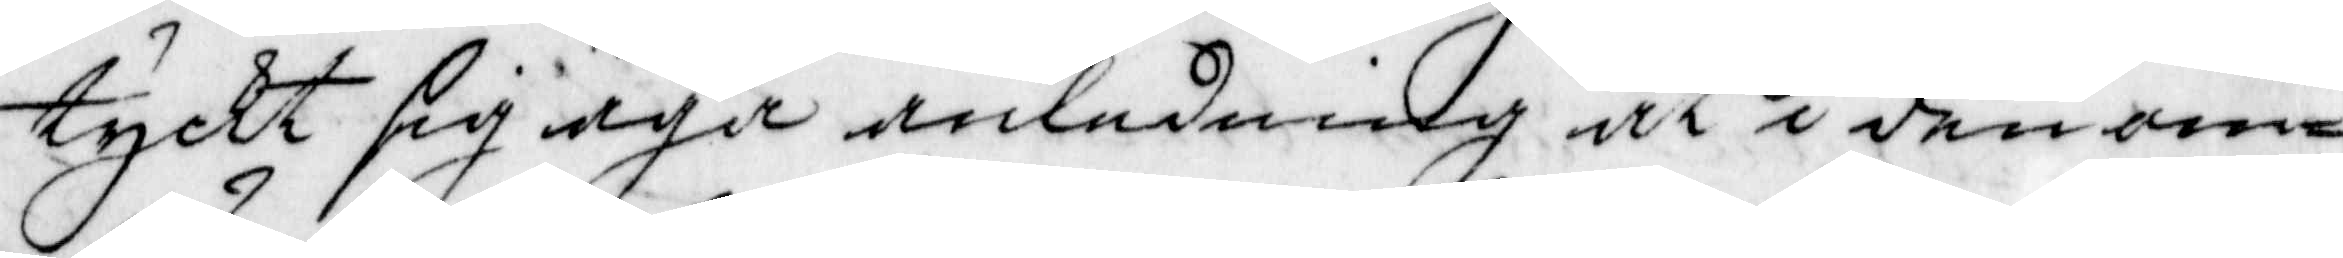tyckt sig äga anledning at den om¬
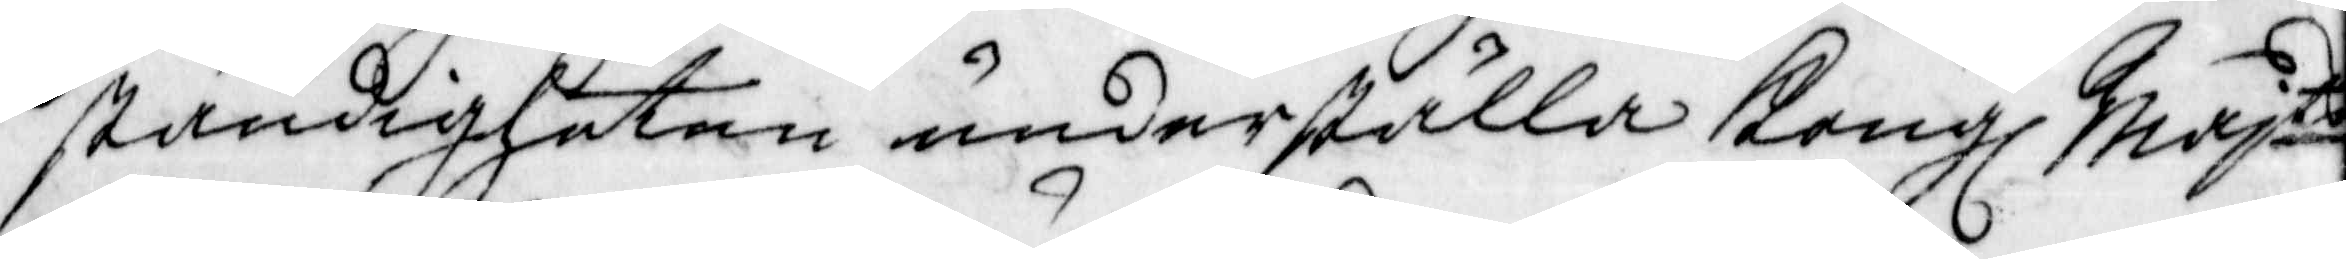ständigheten underställa Kongl. Majtts
